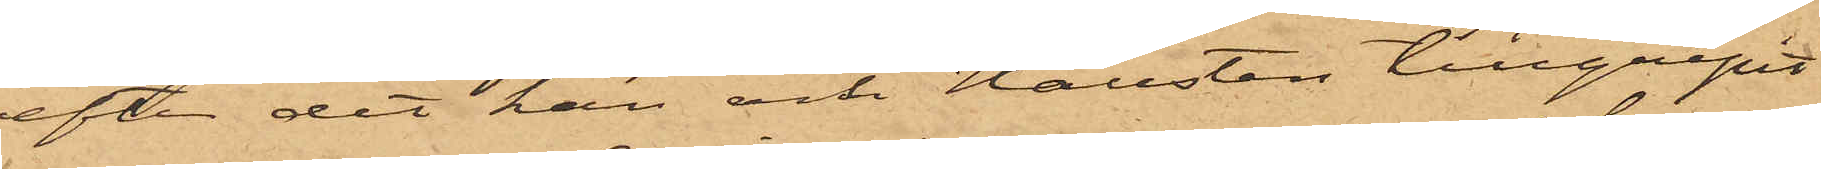efter det han och Hallsten tillgripit
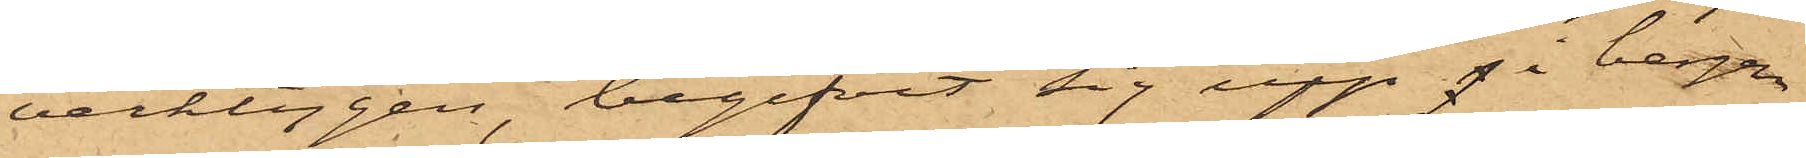verktygen, begifvit sig upp i bergen
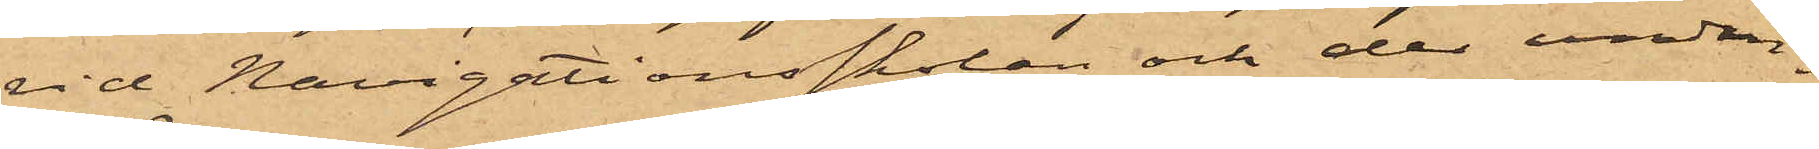vid Navigationsskolan och der undan¬
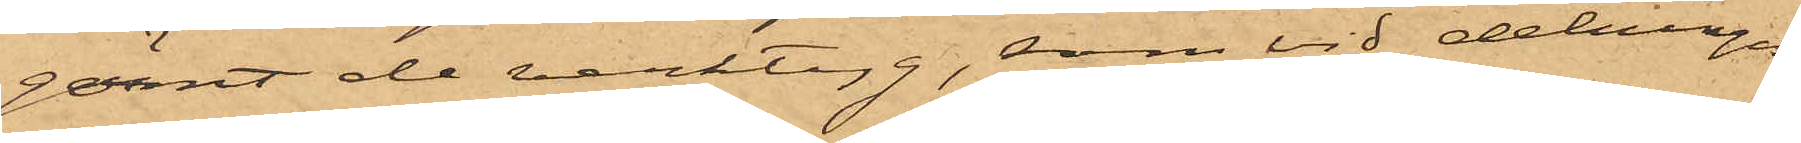gömt de verktyg, som vid delningen
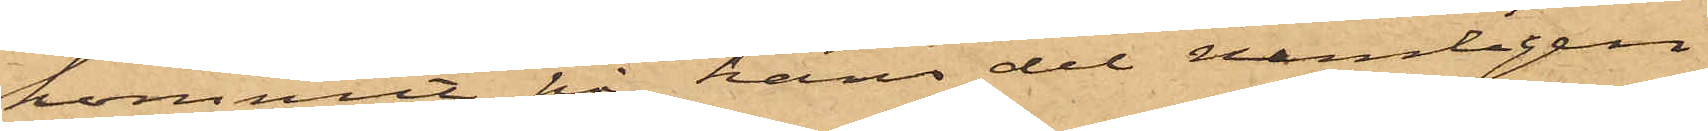kommit på hans del nemligen
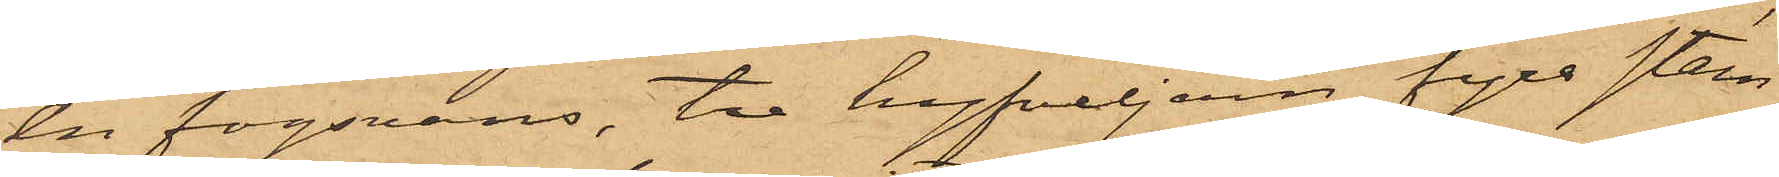en fogsvans, tre hyfveljern, fyra stem¬
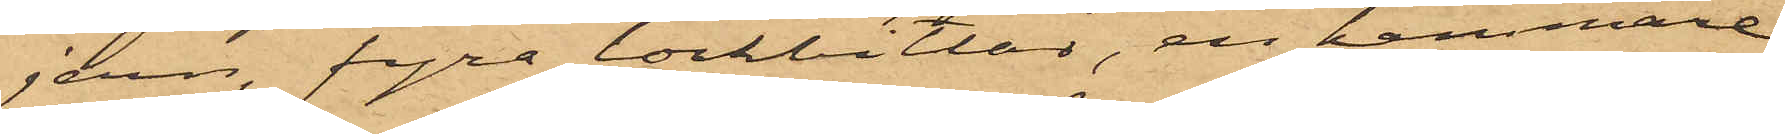jern, fyra lockbitlar, en hammare,
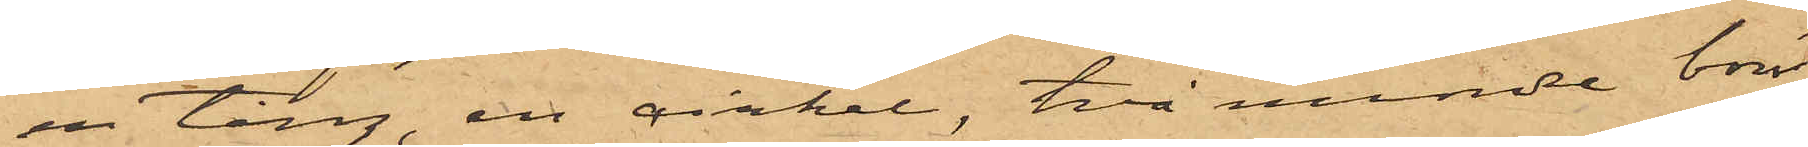en tång, en cirkel, två mindre borr,
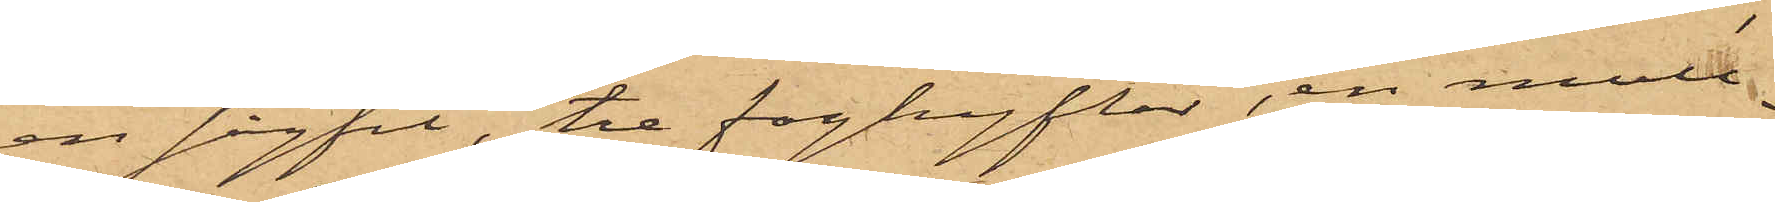en sågfil, tre foghyflar, en mall¬
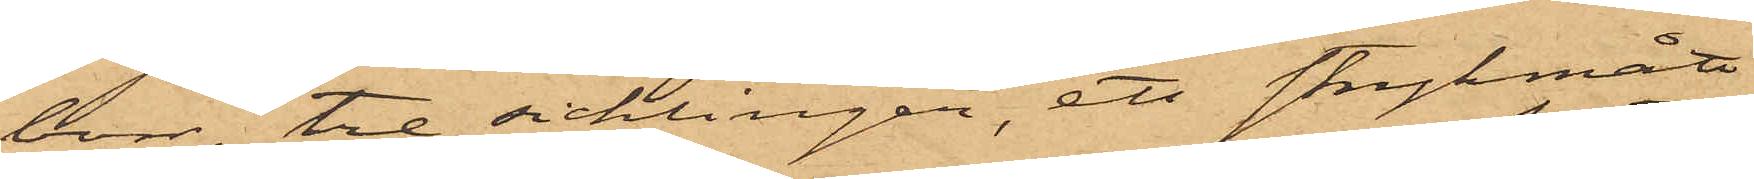borr, tre sicklingar, ett strykmått,
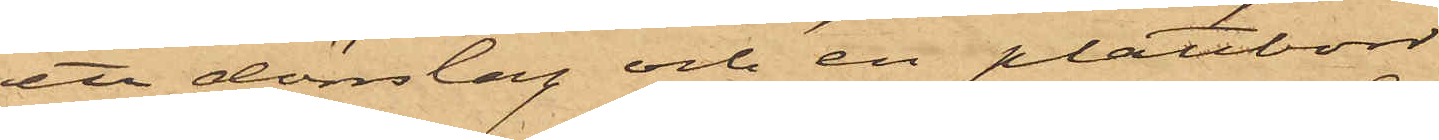ett dörrslag och en plåtborr
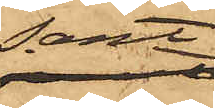samt
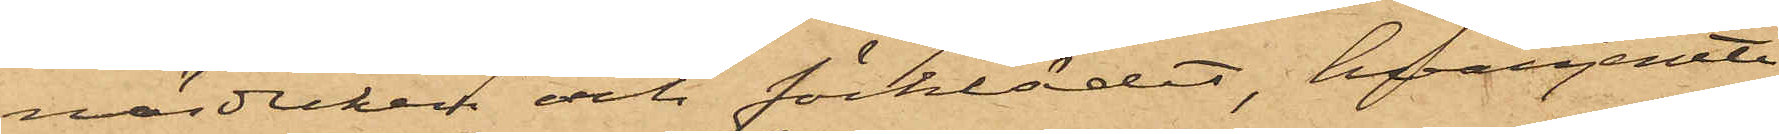näsduken och förklädet, hvarjemte
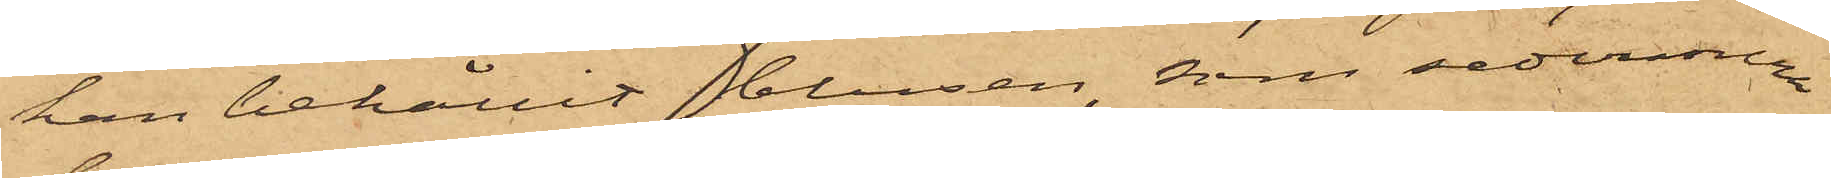han behållit blusen, som sednare
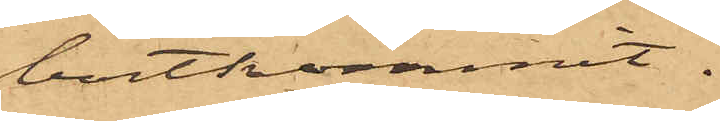bortkommit.
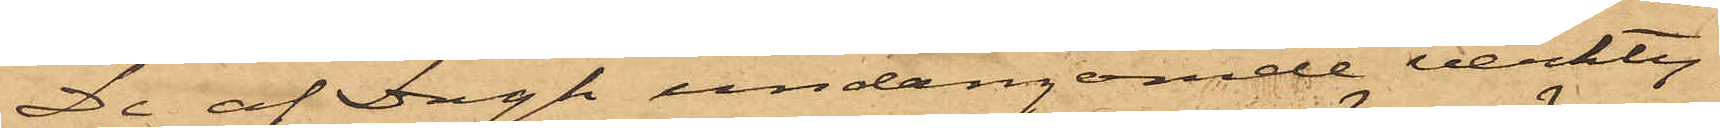De af Dagh undangömde verkty¬
